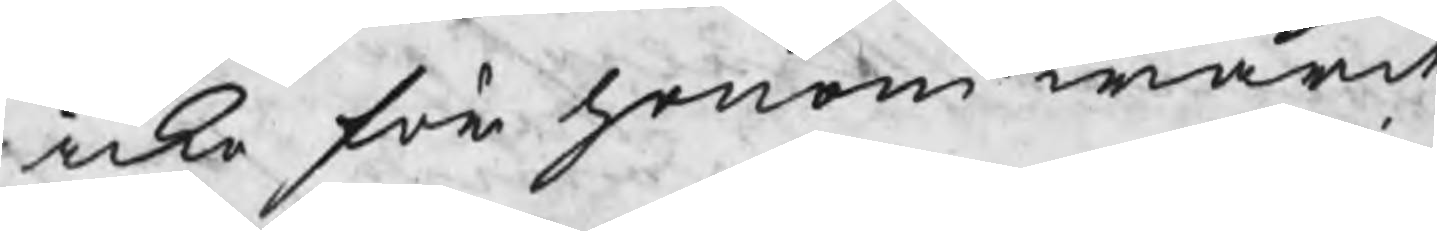icke för honom warit
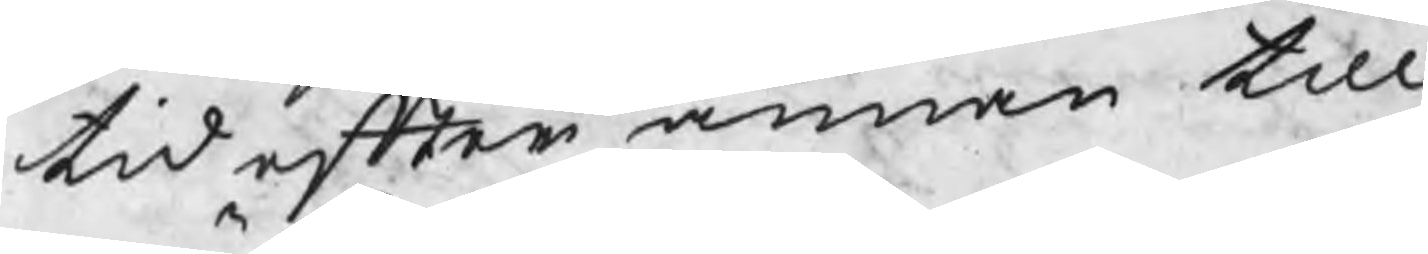tid efter annan till
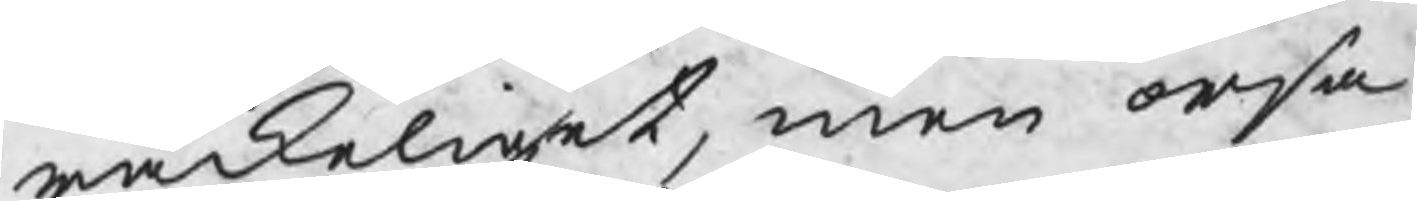räckeliget, men orsa¬
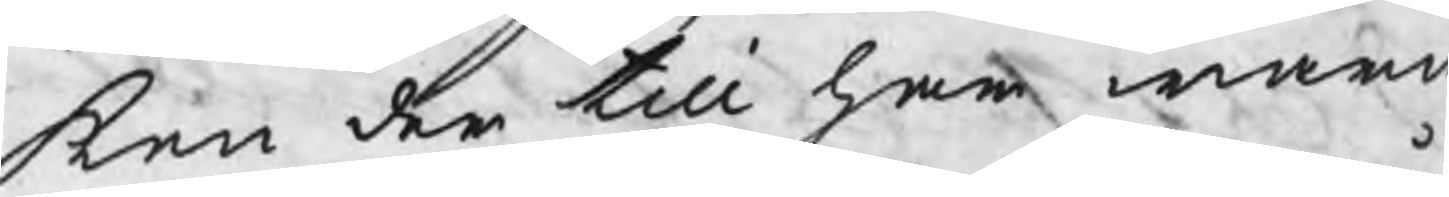ken der till har warit
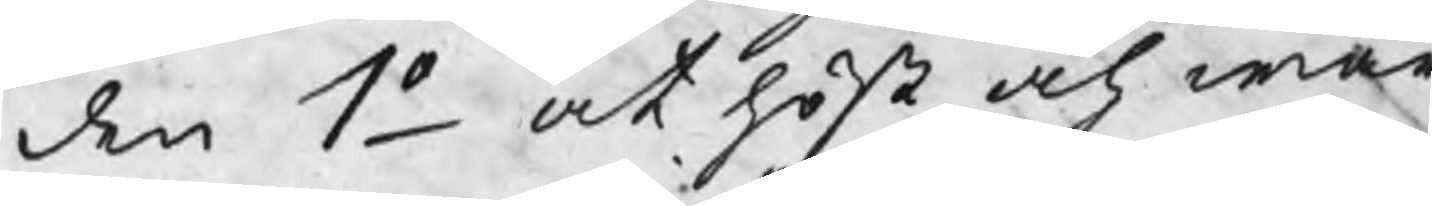de 1o at höst och wår
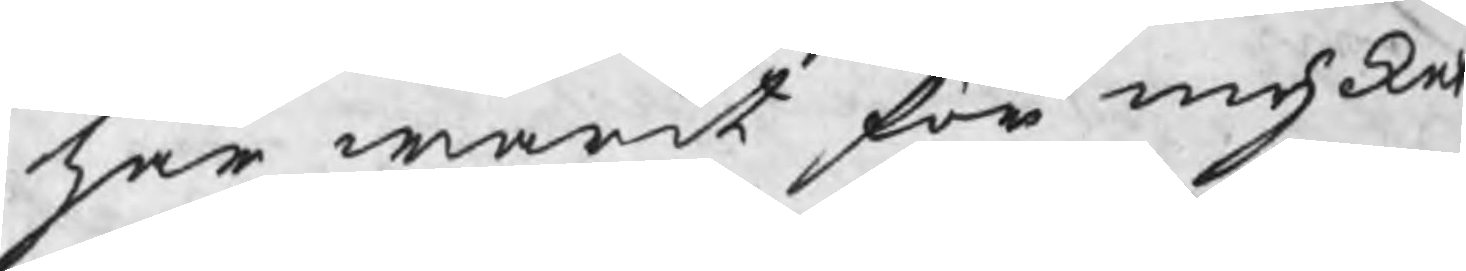har warit förmycket
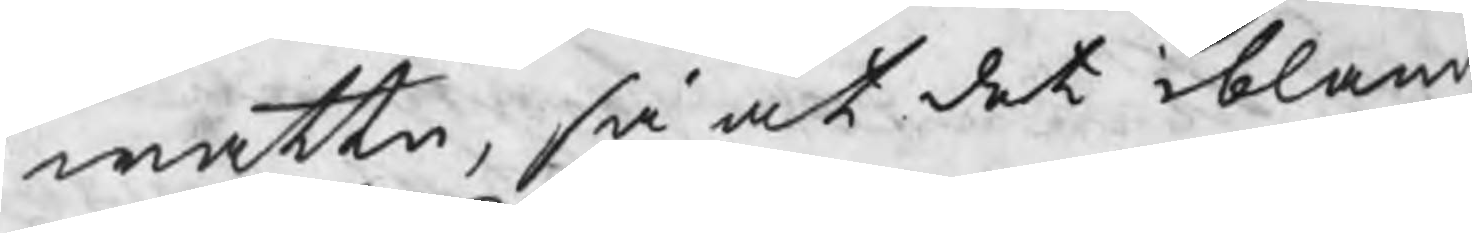wattn, så at det ibland
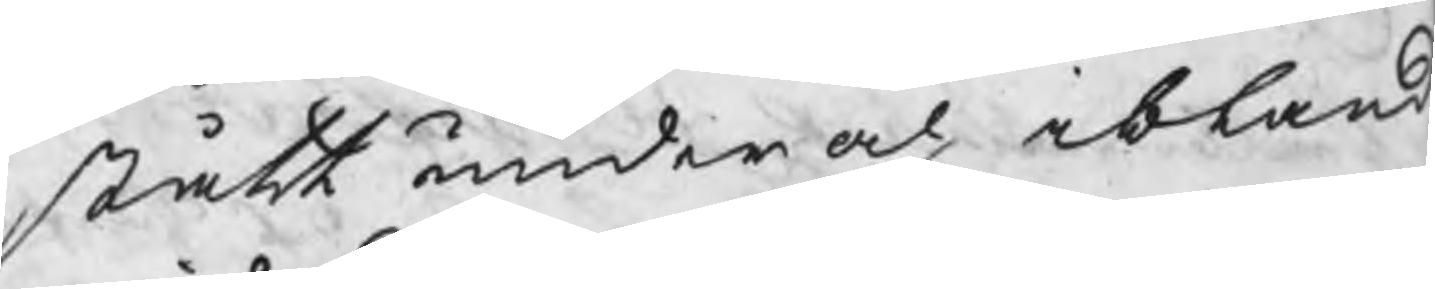stått under och ibland
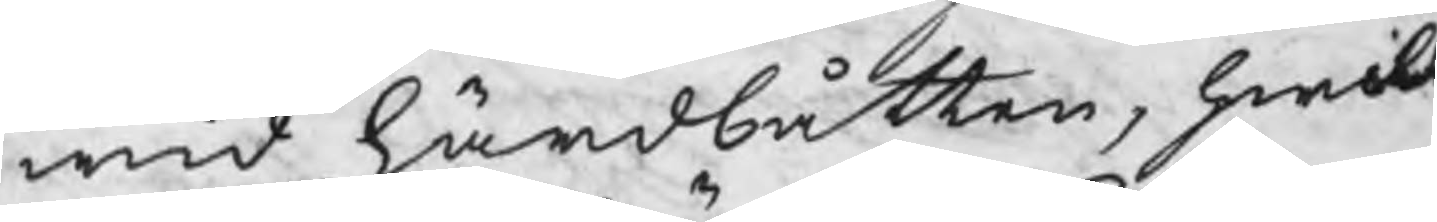wid härdbåtten, hwilk
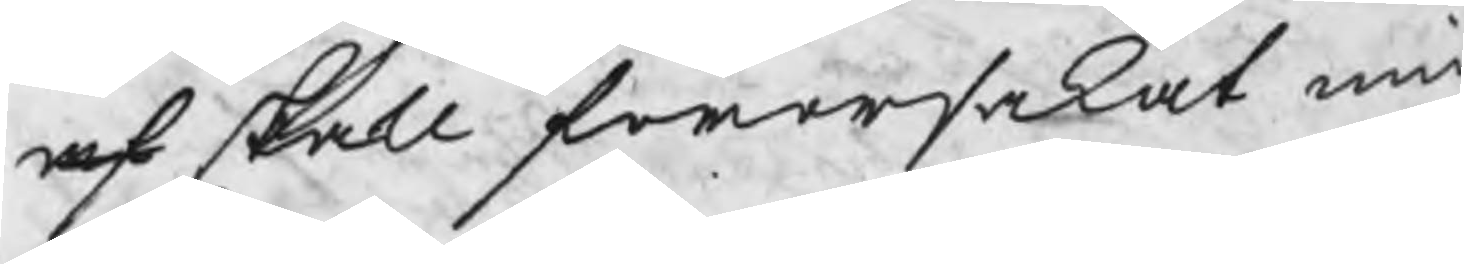af  skall förorsakat mi
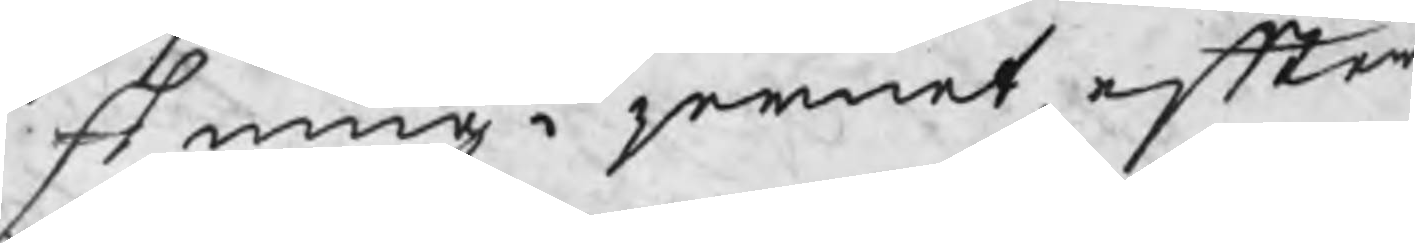skning i jernet, efter
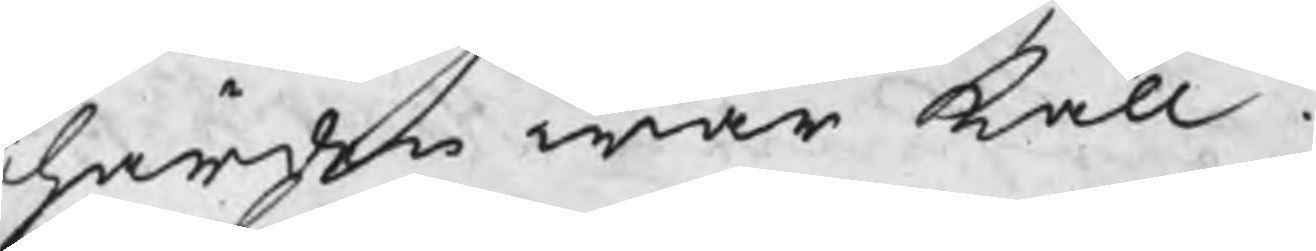härden war kall
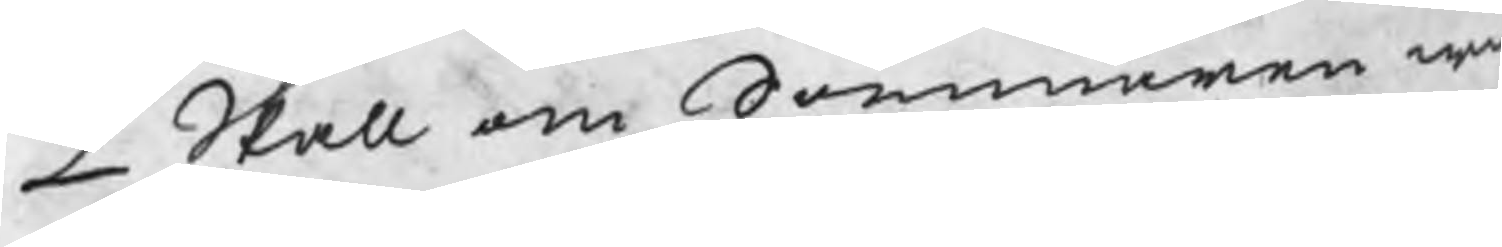2 Skall om Sommaren wi
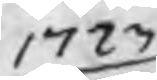1723
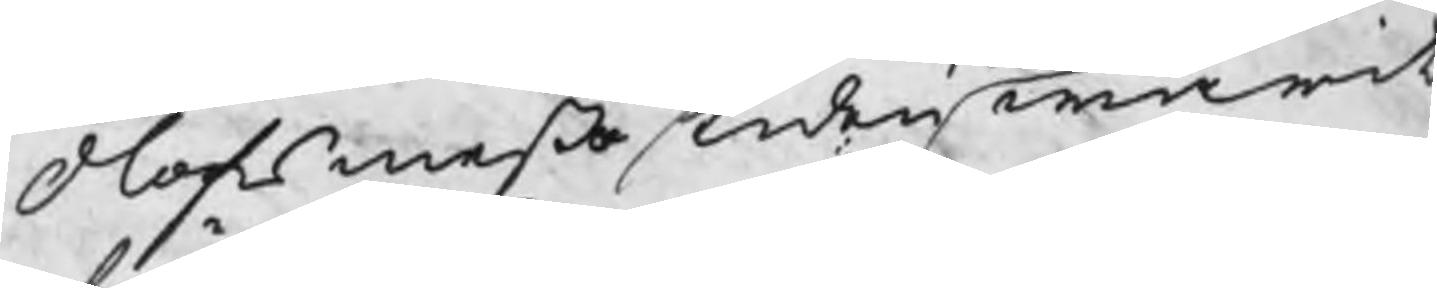Olofsmeßo tiden warit
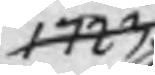1723
